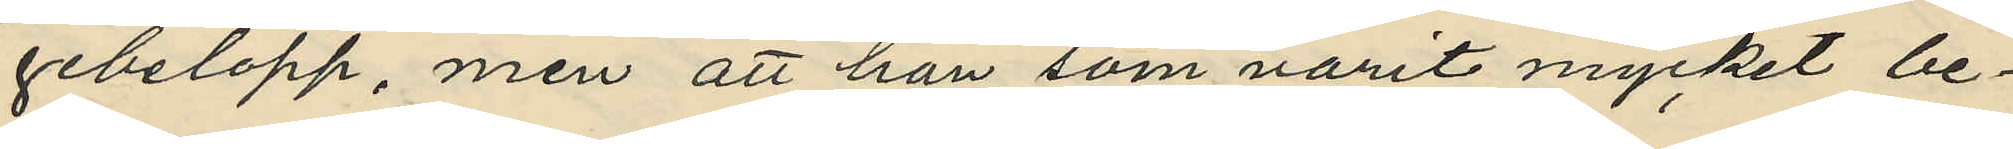gebelopp, men att han som varit mycket be¬
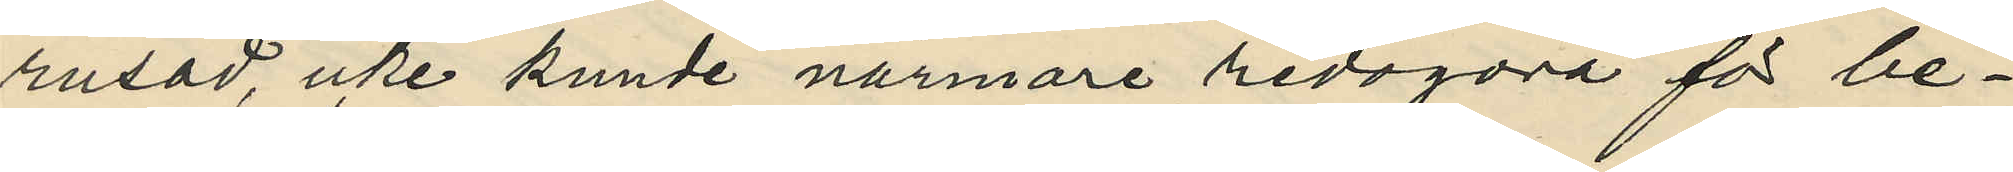rusad, icke kunde närmare redogöra för be¬
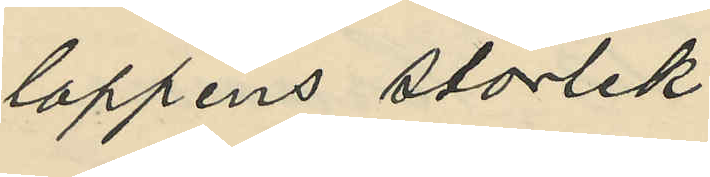loppens storlek.
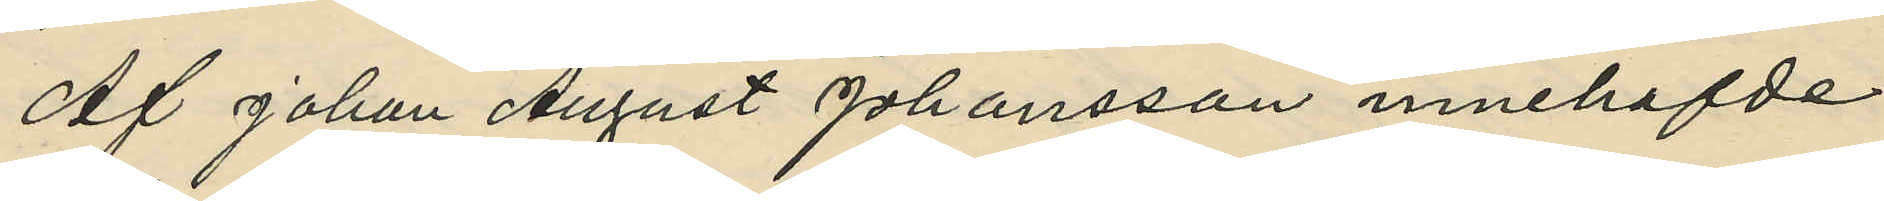Af Johan August Johansson innehafde
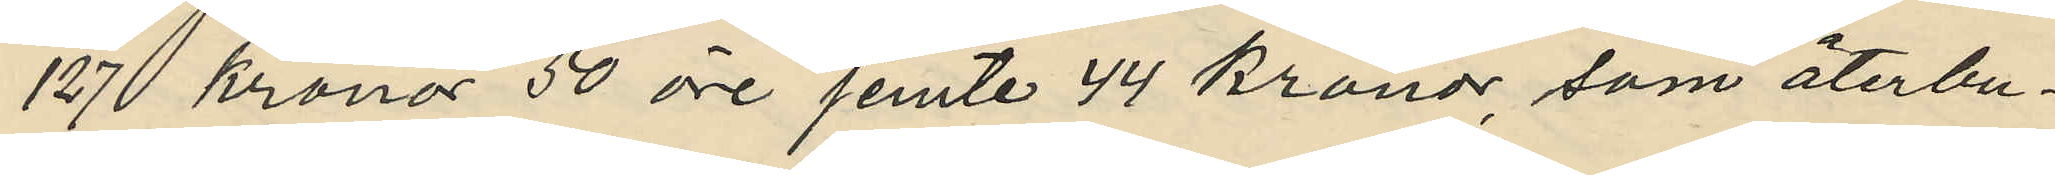127 kronor 50 öre jemte 44 kronor, som återbu¬
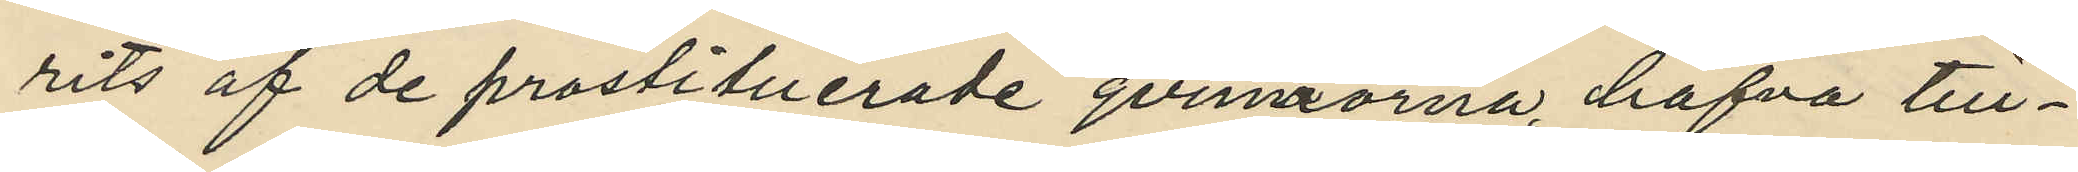rits af de prostituerade qvinnorna, hafva till¬
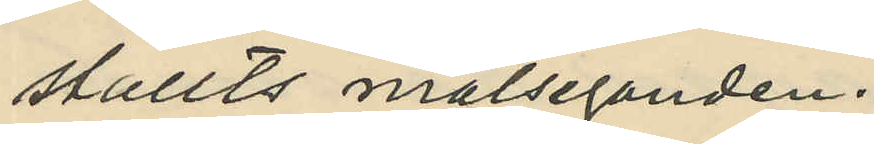stallts målseganden.
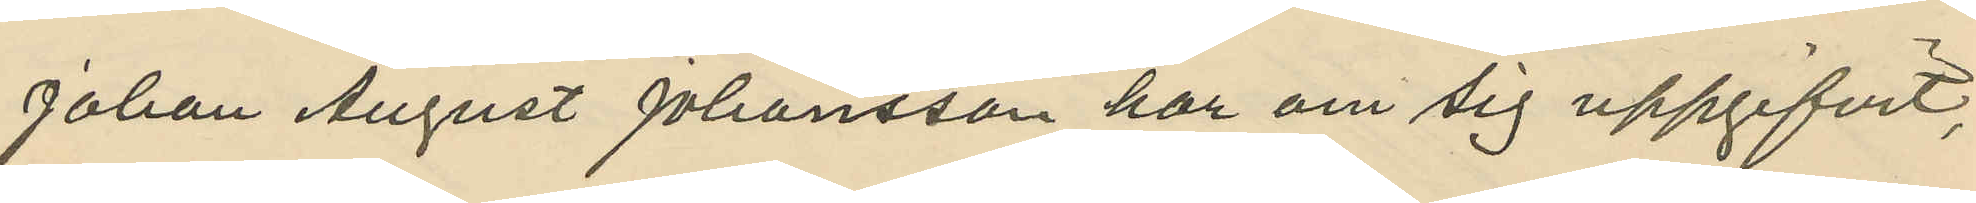Johan August Johansson har om sig uppgifvit,
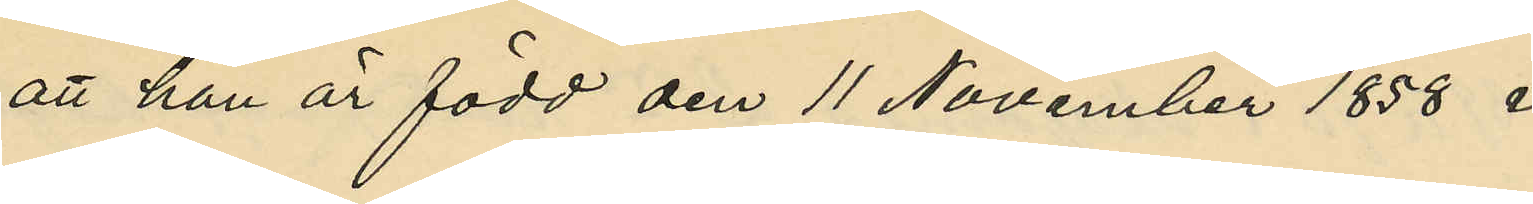att han är född den 11 November 1858 i 
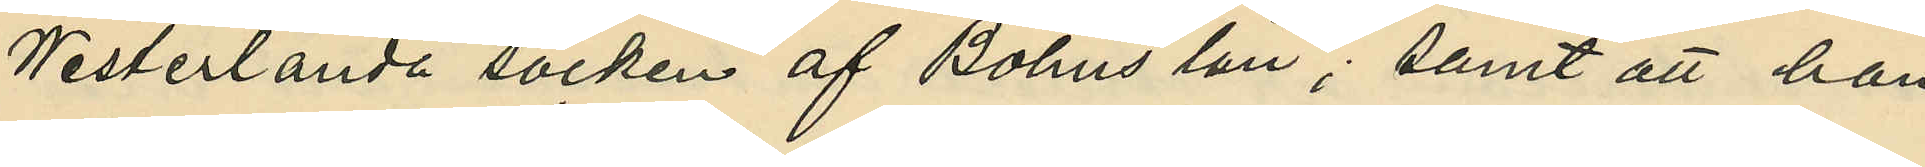Westerlanda socken af Bohus län, samt att han
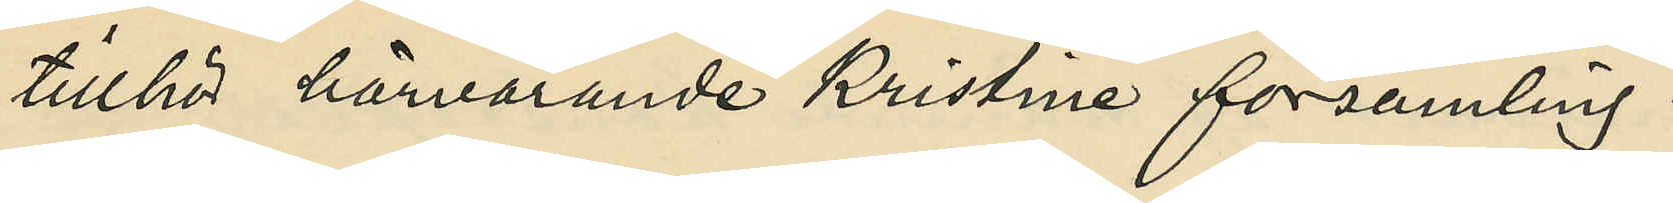tillhör härvarande Kristine församling.
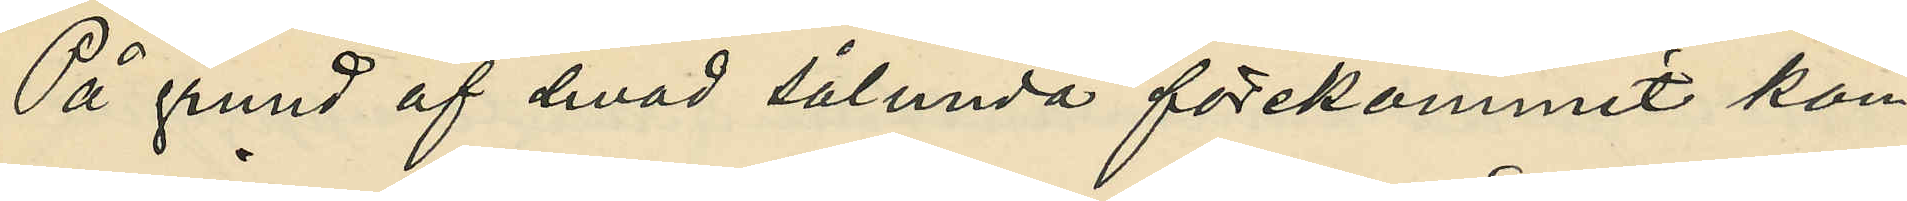På grund af hvad sålunda förekommit kom¬
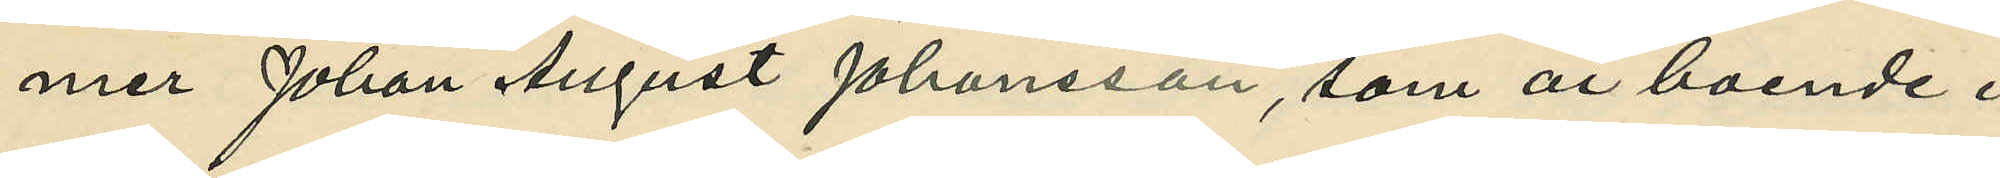mer Johan August Johansson, som är boende i
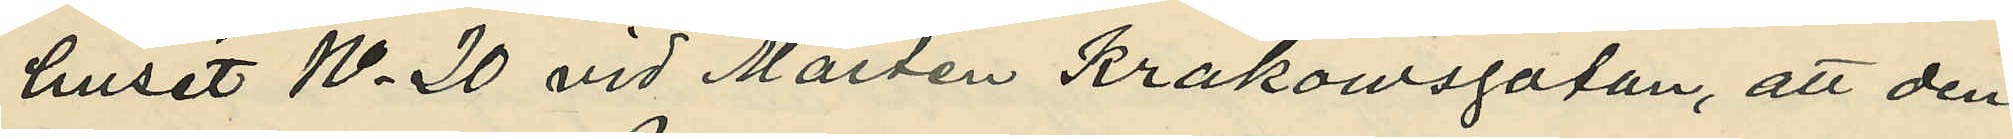huset No 20 vid Mårten Krakowsgatan, att den¬
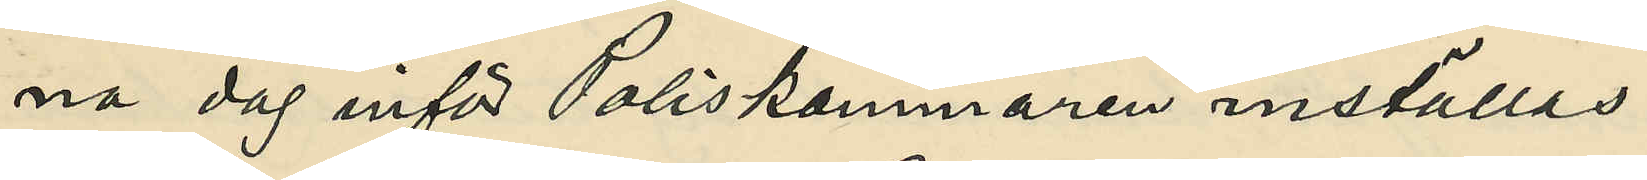na dag inför Poliskammaren inställas.
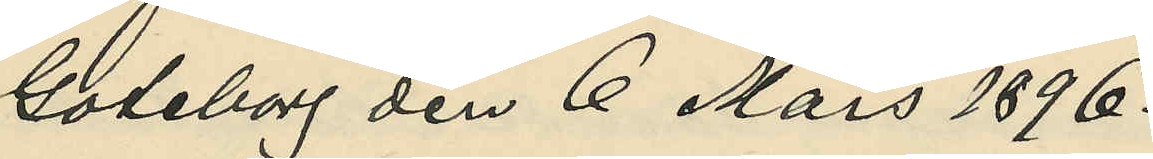Göteborg den 6 Mars 1896.
